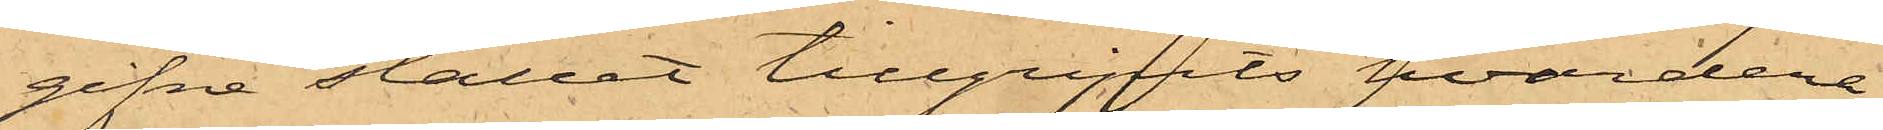gifne stället tillgripits hvardera
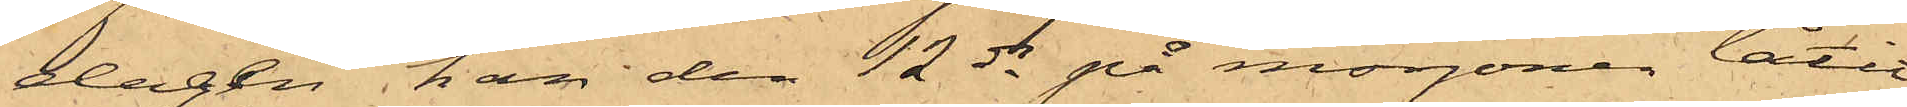dagen han den 12 ds på morgonen låtit
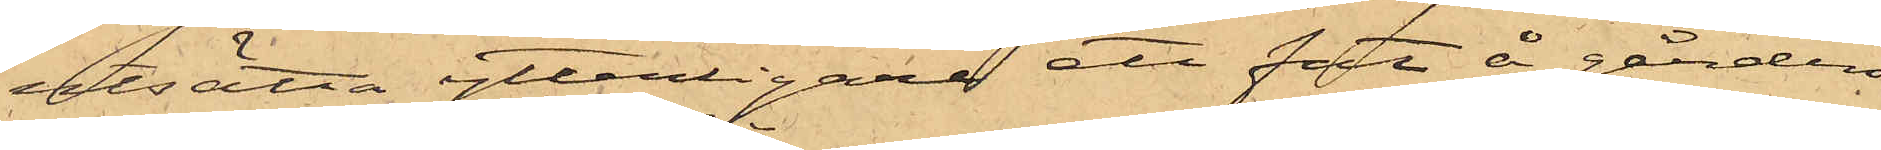utsätta ytterligare ett fat å gården
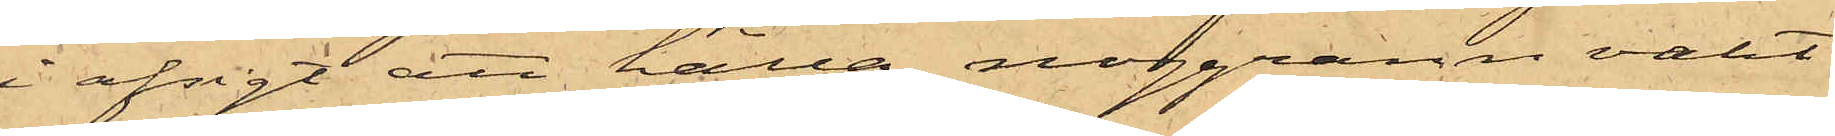i afsigt att hålla noggrann vakt
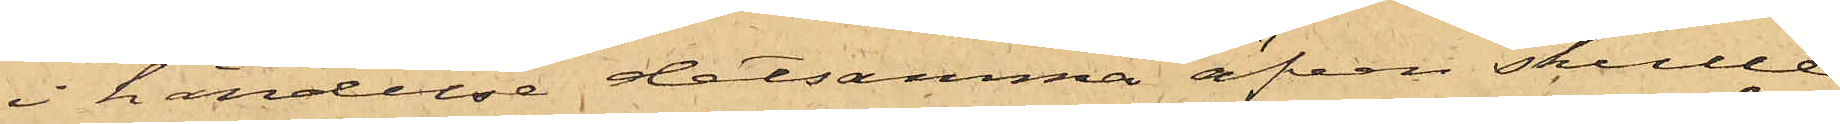i händelse detsamma äfven skulle
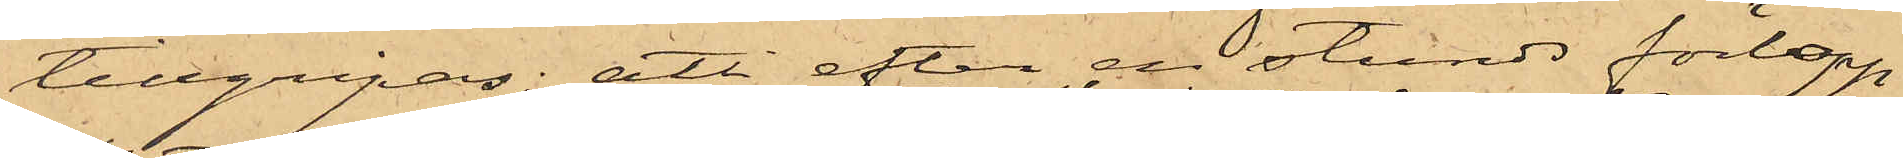tillgripas; att efter en stunds förlopp
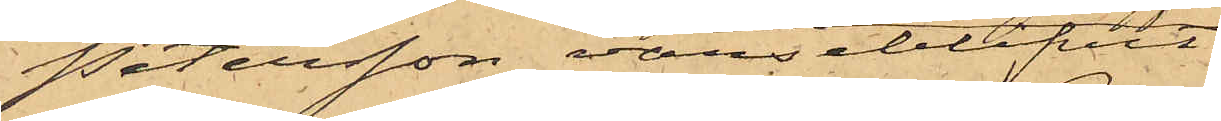Petersson varseblifvit
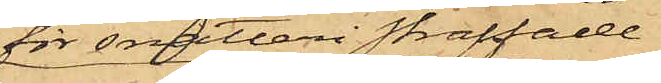för snatteri straffade
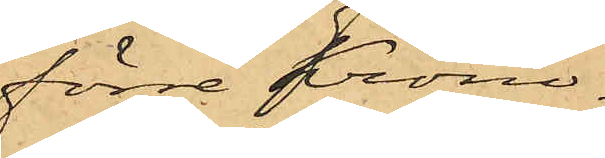förre Krono¬
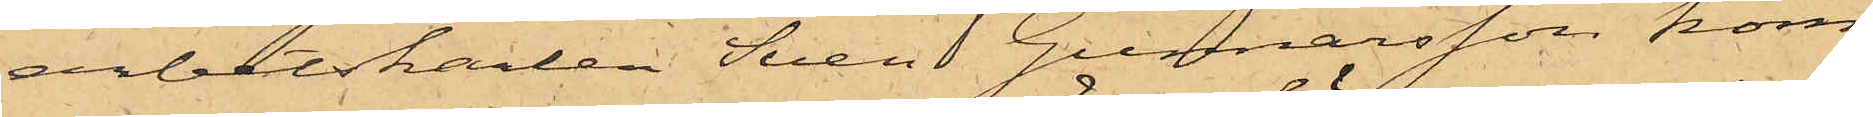arbetskarlen Sven Gunnarsson kom¬
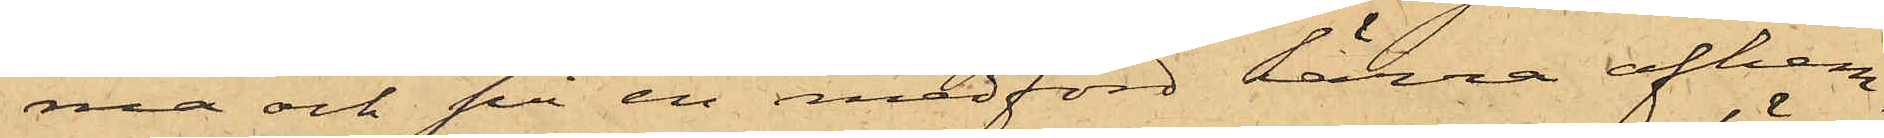ma och på en medförd kärra afhem¬
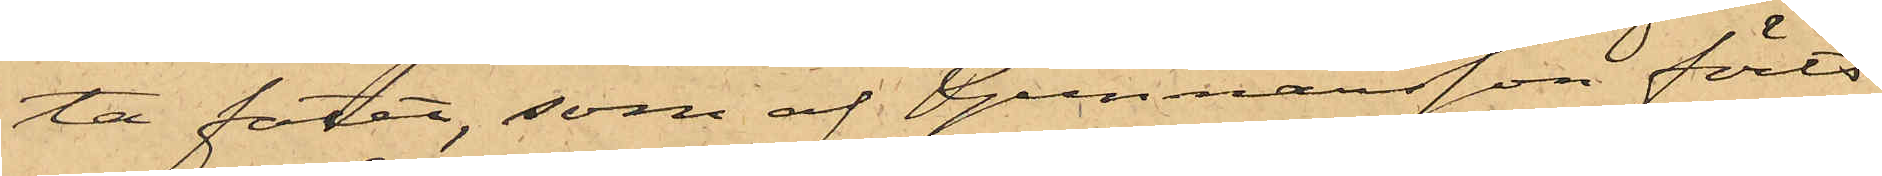ta fatet, som af Gunnarsson förts
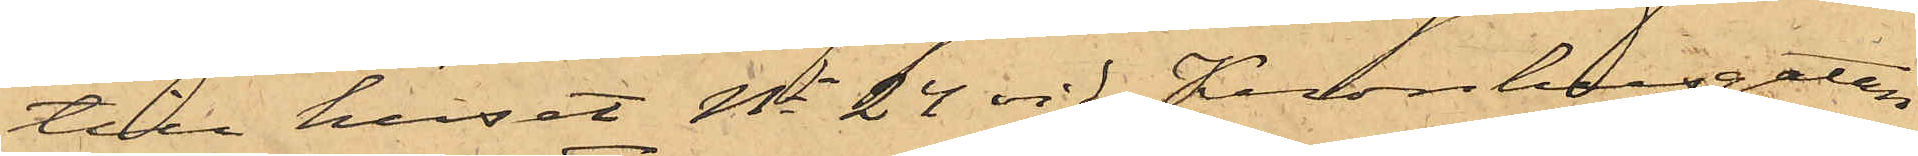till huset No 24 vid Kronhusgatan
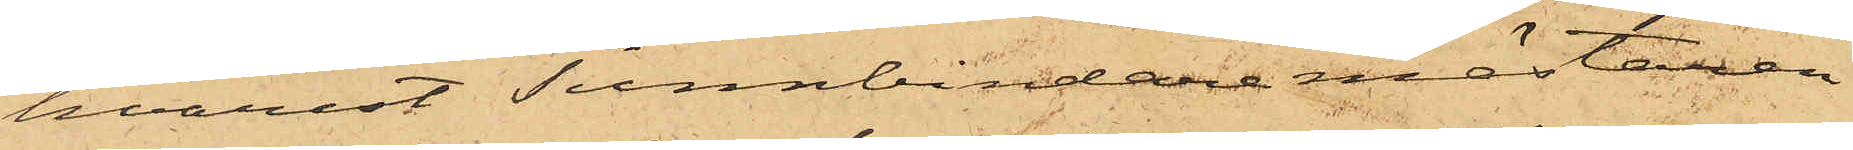hvarest Tunnbindaremästaren
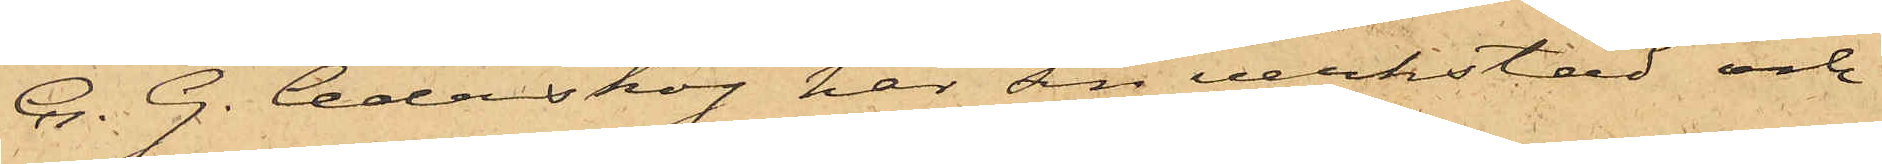C. G. Cederskog har sin verkstad och
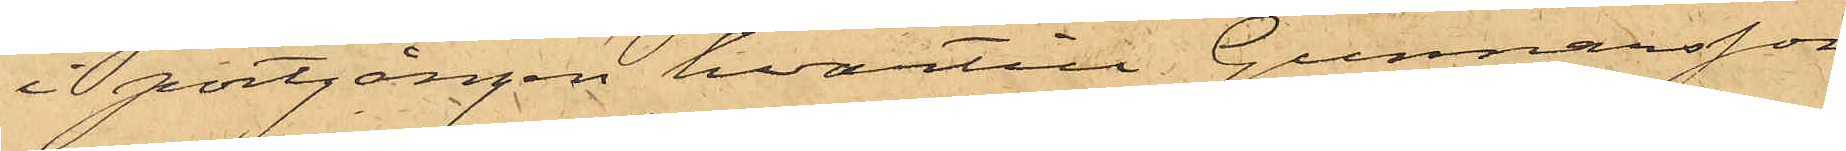i portgången, hvartill Gunnarsson
